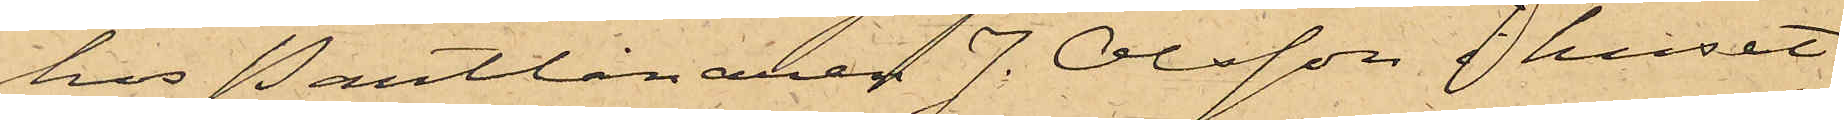hos Pantlånaren J. Olsson i huset
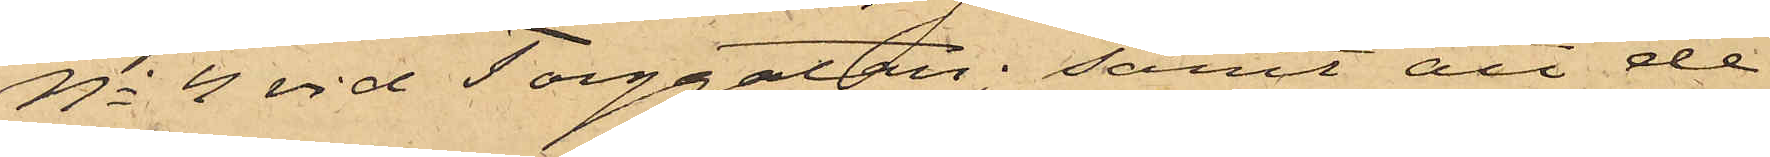No 4 vid Torggatan; samt att de
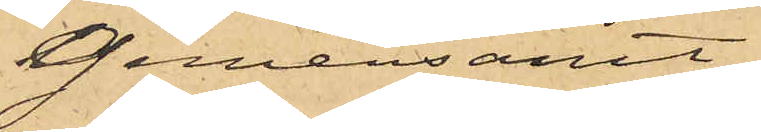gemensamt
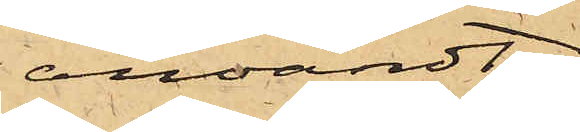användt
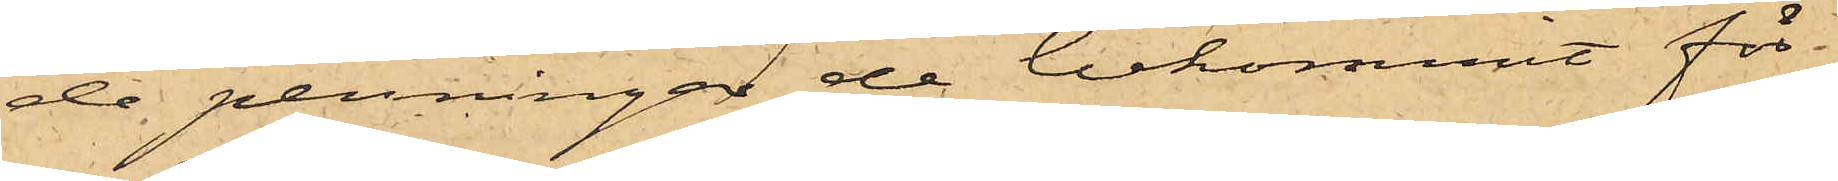de penningar de bekommit för
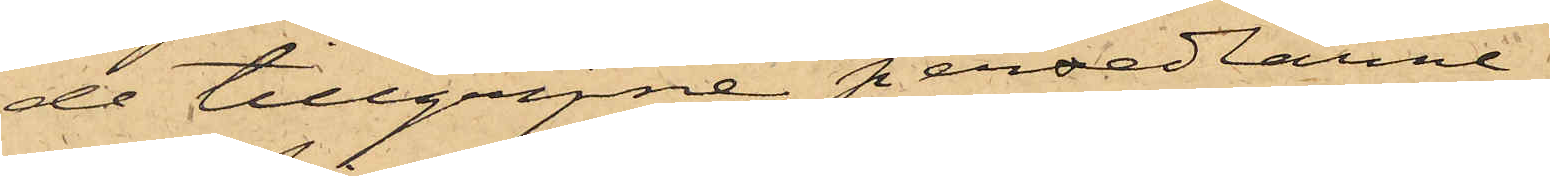de tillgripne persedlarne.
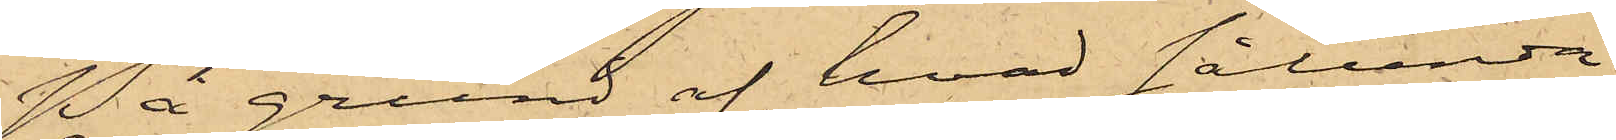På grund af hvad sålunda
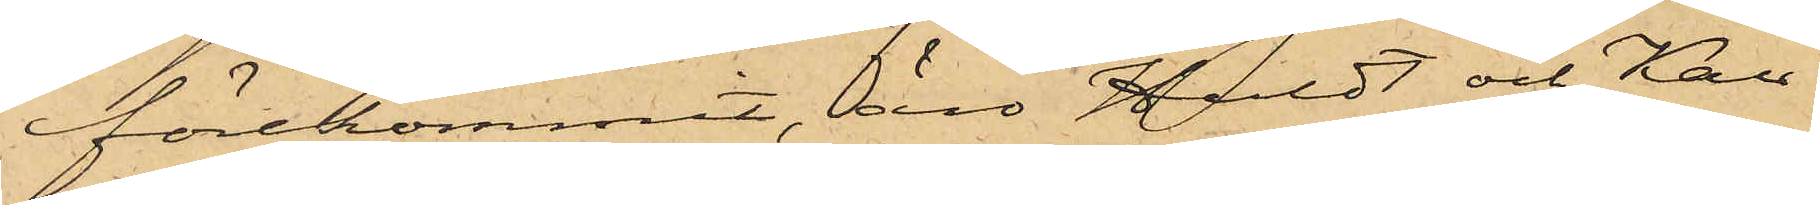förekommit, äro Huldt och Kau-
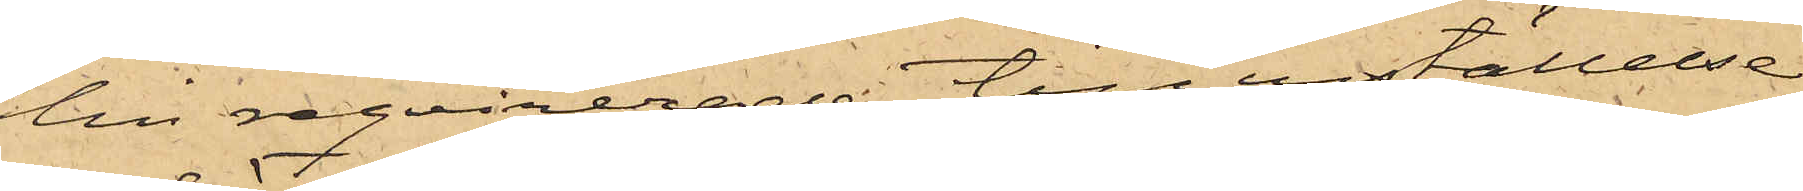lin reqvirerade till inställelse
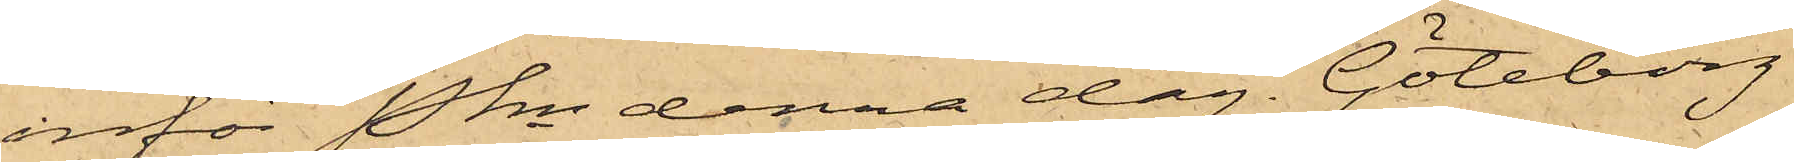inför Pkn denna dag. Göteborg
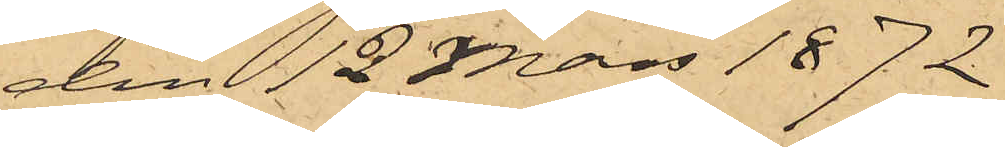den 12 Mars 1872.
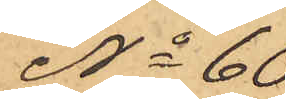No 60
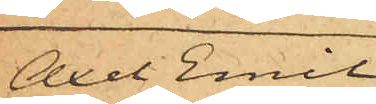Axel Emil
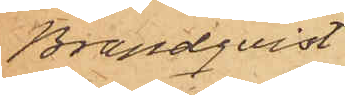Brandqvist
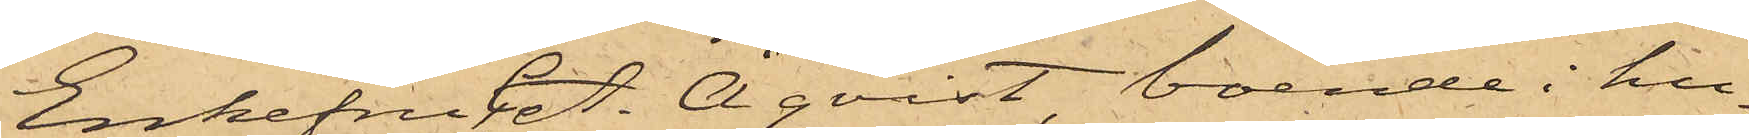Enkefru C. A. Åqvist, boende i hu¬
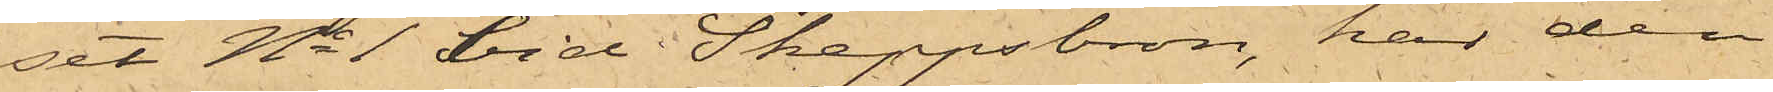set No 1 vid Skeppsbron, har den
